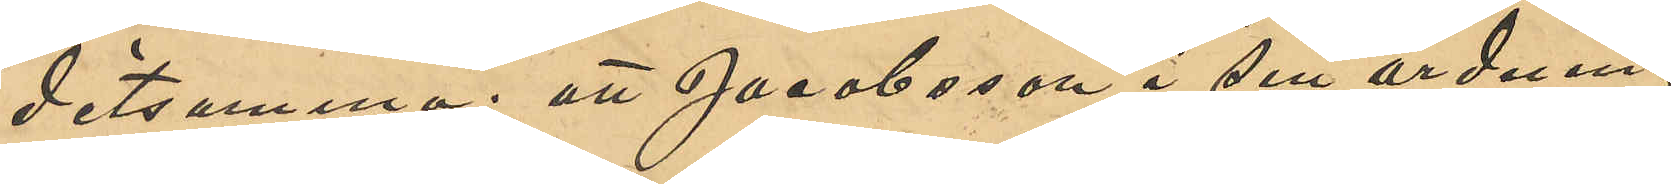detsamma; att Jacobsson i sin ordning
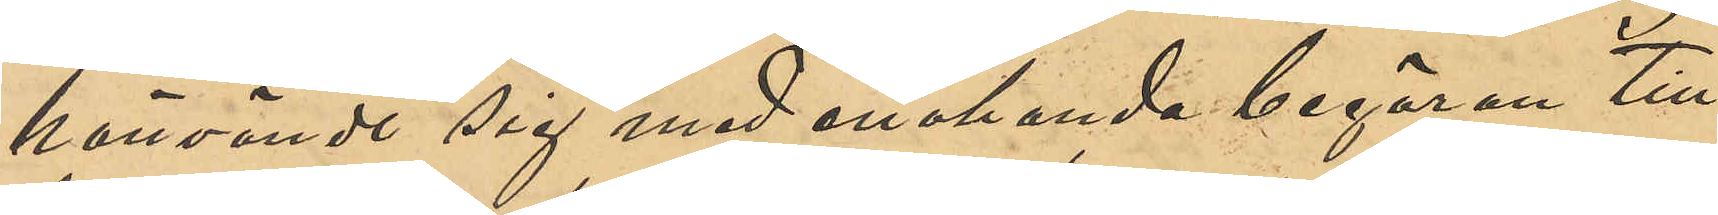hänvände sig med enahanda begäran till
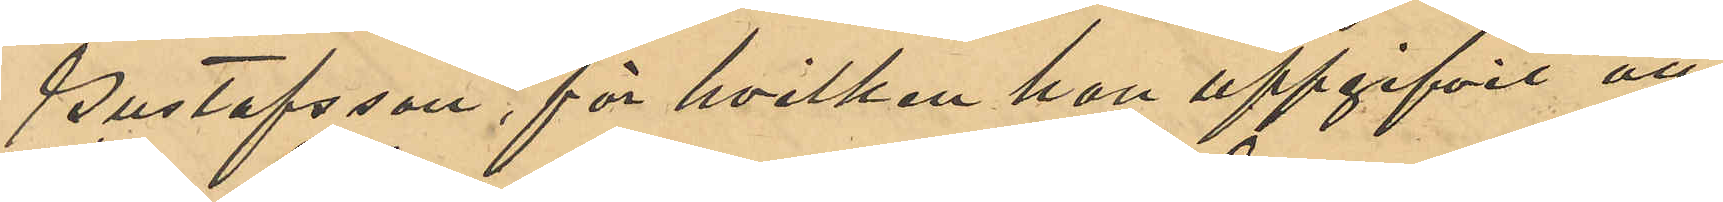Gustafsson, för hvilken han uppgifvit att
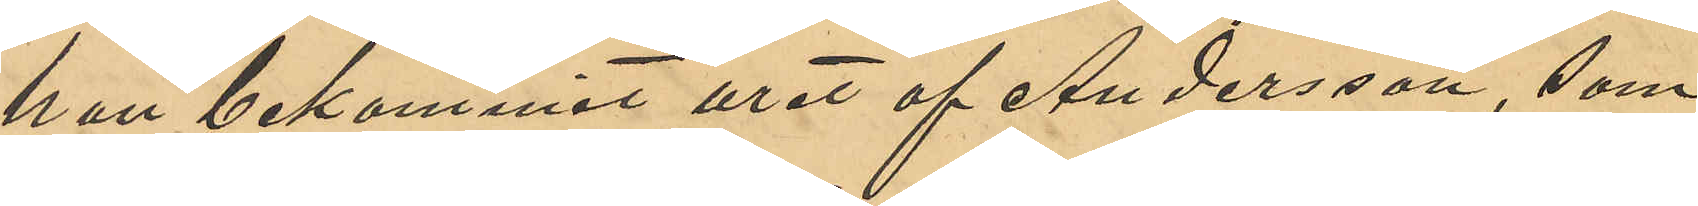han bekommit uret af Andersson, som
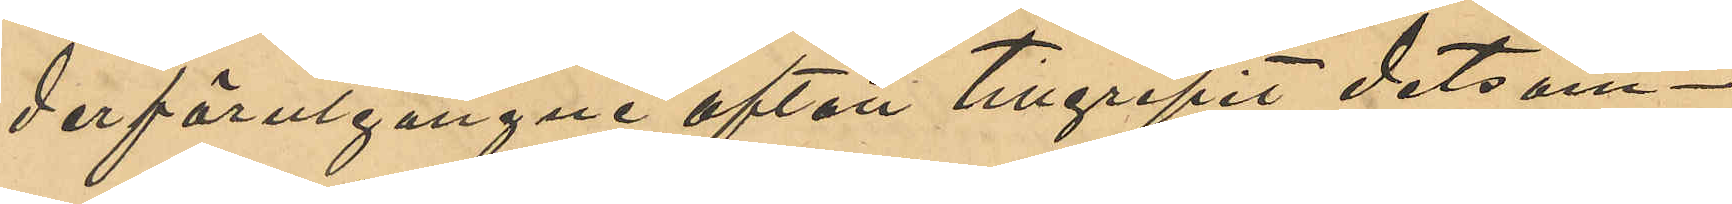derförutgångne afton tillgripit detsam¬
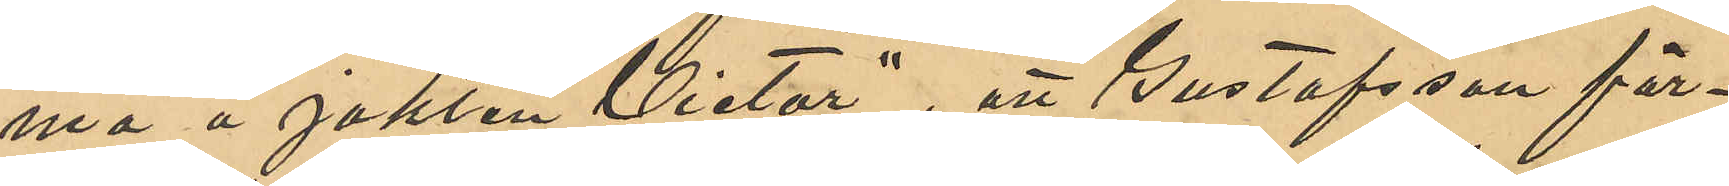ma å jakten "Victor"; att Gustafsson för¬
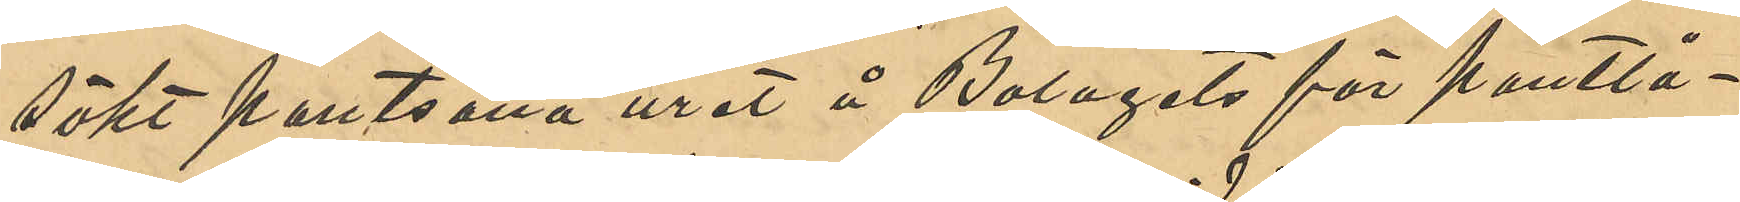sökt pantsätta uret å Bolagets för Pantlå¬
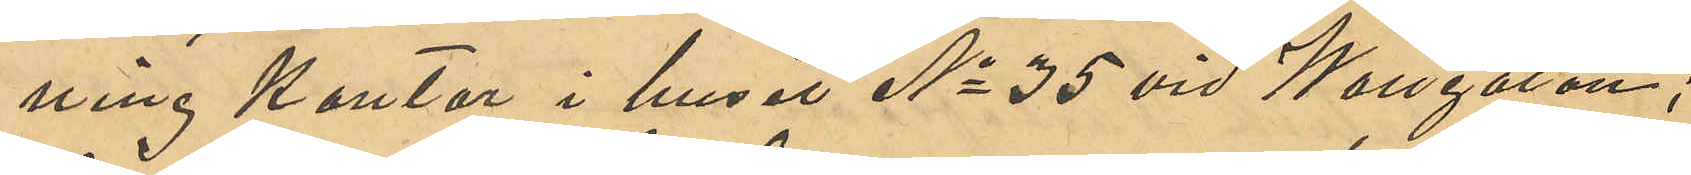ning Kontor i huset No 35 vid Korsgatan;
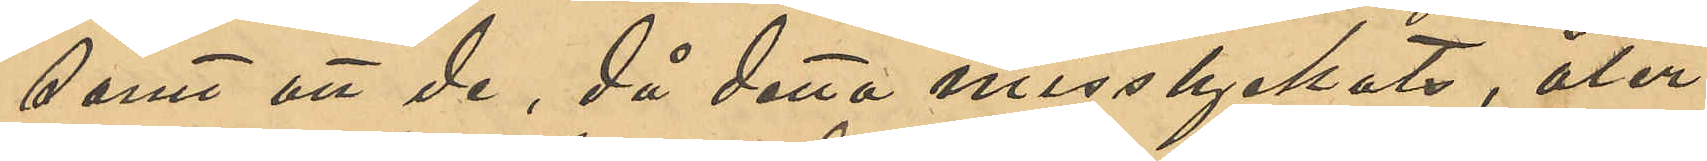samt att de, då detta misslyckats, åter¬
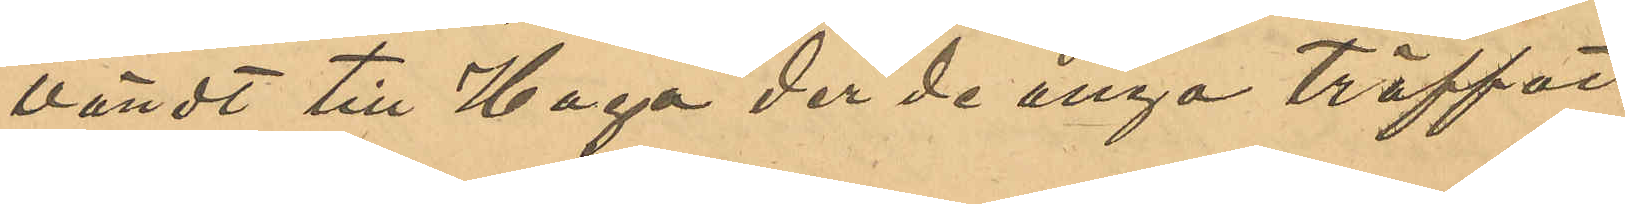vändt till Haga de de ånyo träffat
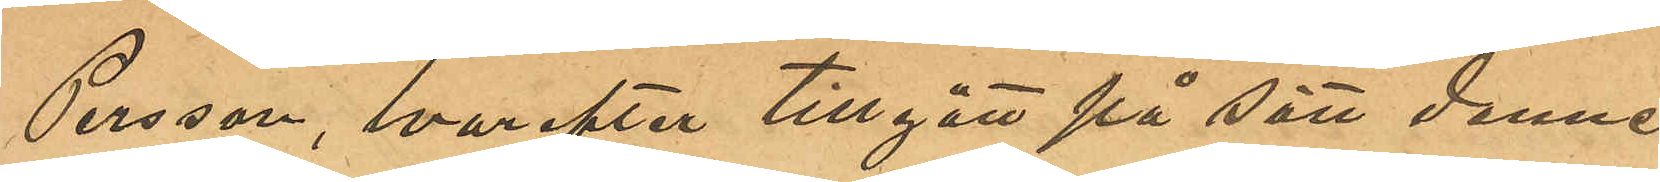Persson, hvarefter tillgått på sätt denne
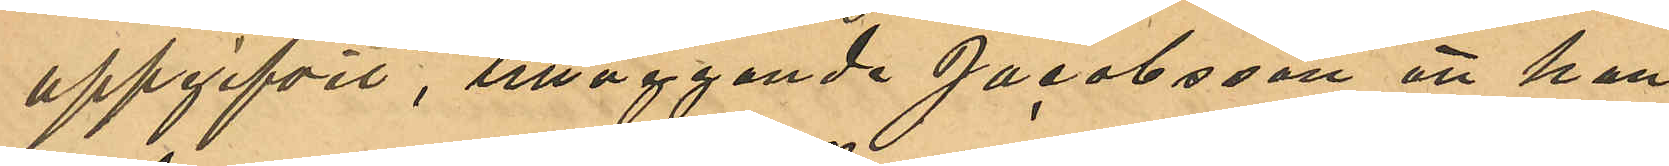uppgifvit, tilläggande Jacobsson att han
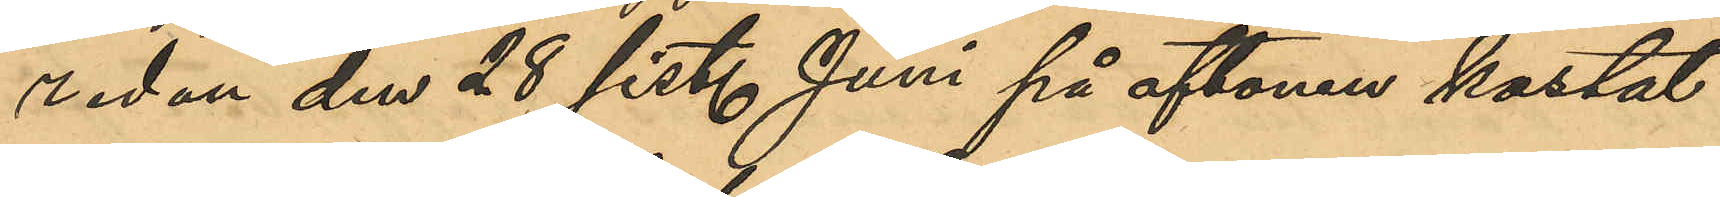redan den 28 sist. Juni på aftonen kastat
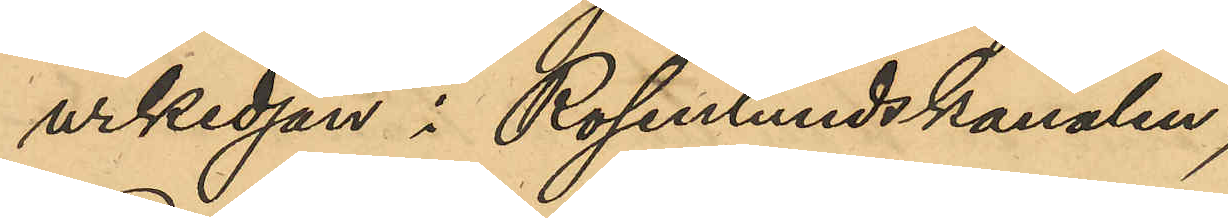urkedjan i Rosenlundskanalen;
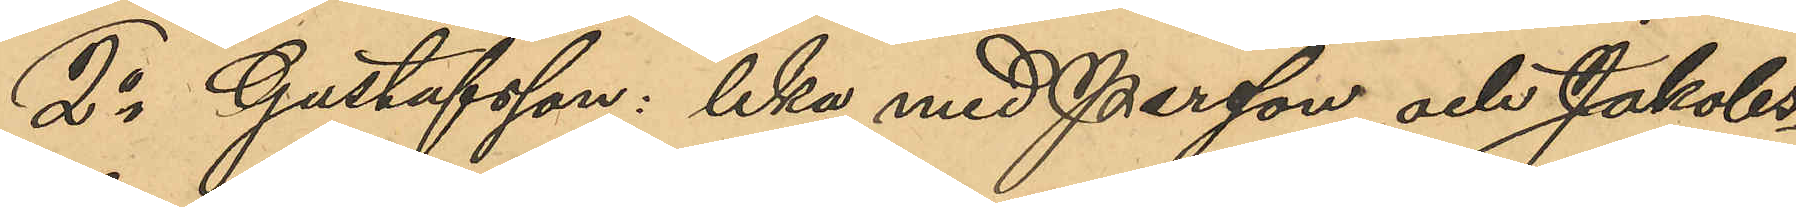2o Gustafsson: lika med Persson och Jakobs¬
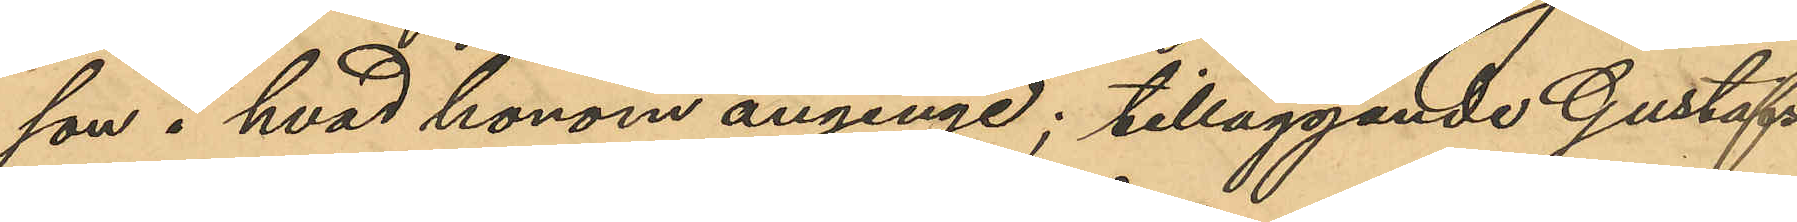son i hvad honom anginge; tilläggande Gustafs¬
